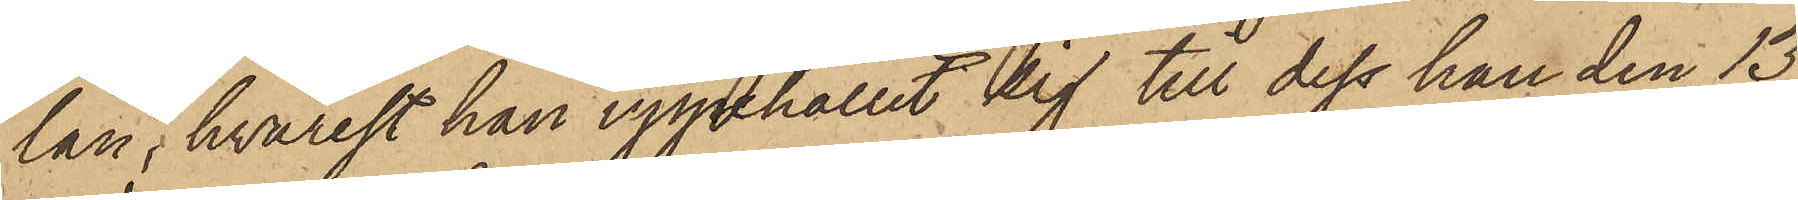län, hvarest han uppehållit sig till dess han den 13
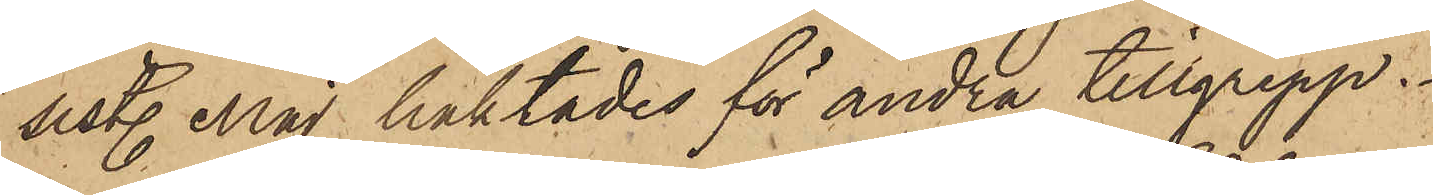sistl. Maj häktades för andra tillgrepp.
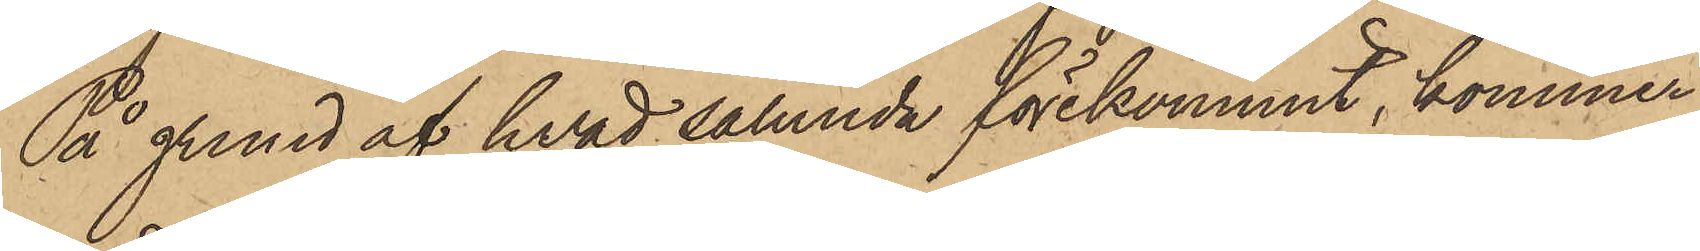På grund af hvad sålunda förekommit, kommer
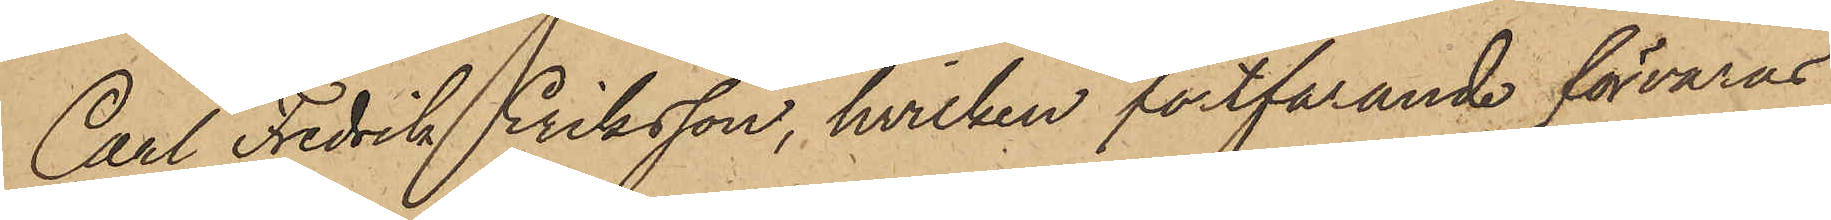Carl Fredrik Eriksson, hvilken fortfarande förvaras
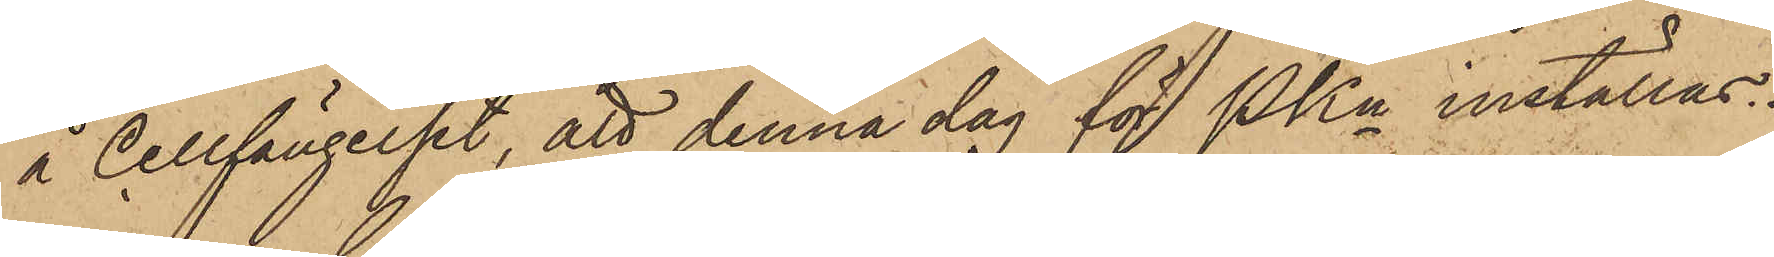å Cellfängelset, att denna dag för PKn inställas.
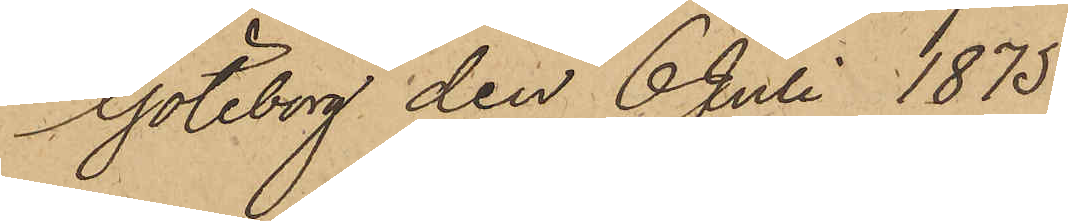Göteborg den 6 Juli 1875.
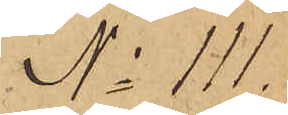No 111.
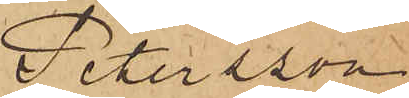Petersson
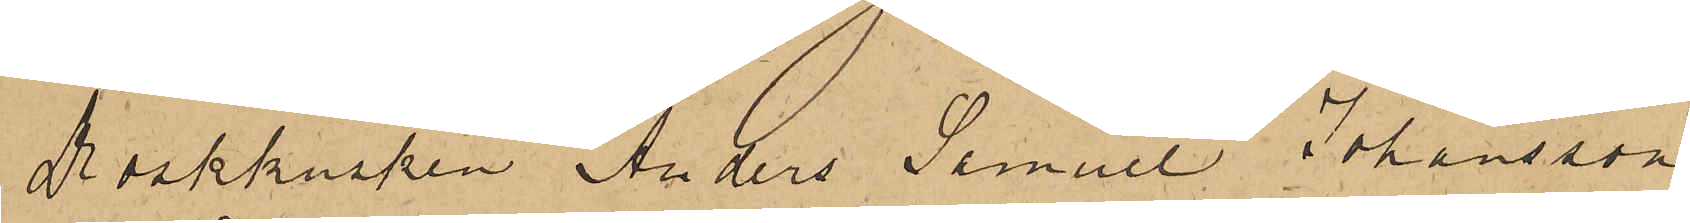Droskkusken Anders Samuel Johansson
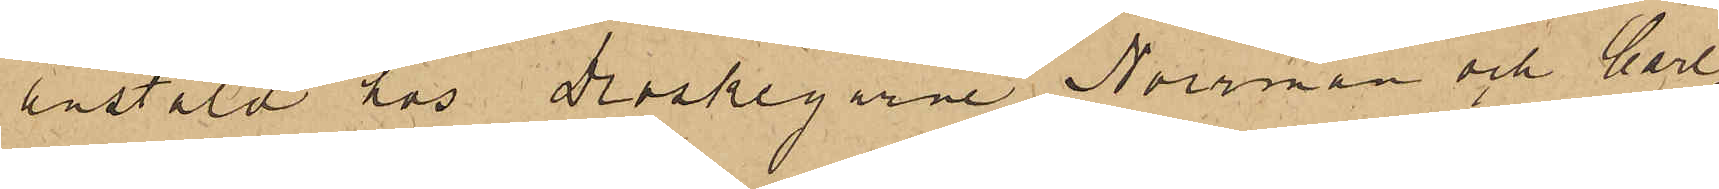anstäld hos Droskegarne Norrman och Carl¬
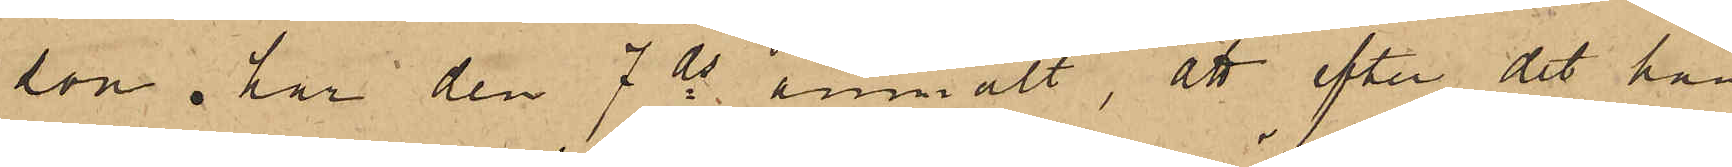son har den 7 ds anmält, att efter det han
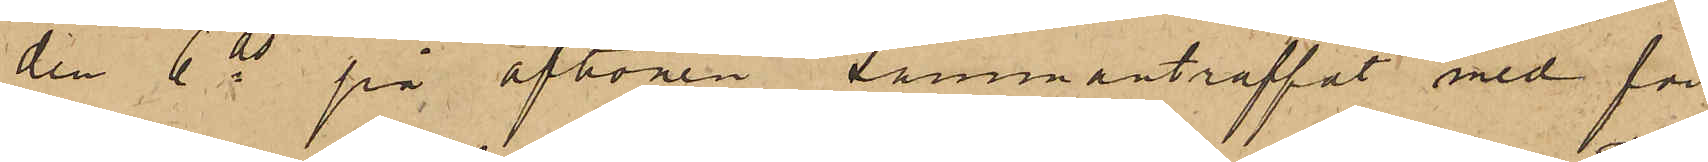den 6 ds på aftonen sammanträffat med för
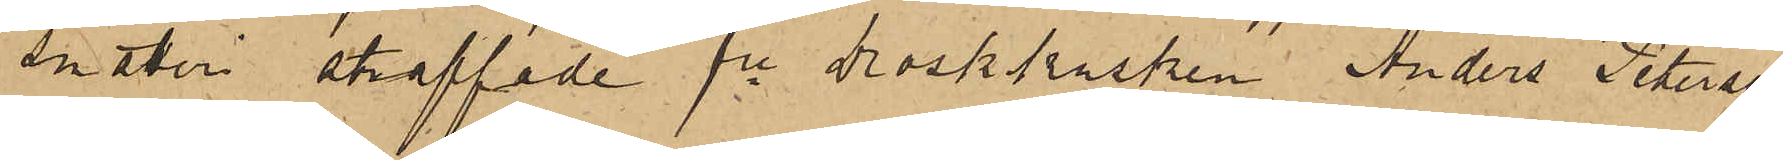snatteri straffade fre droskkusken Anders Peterson
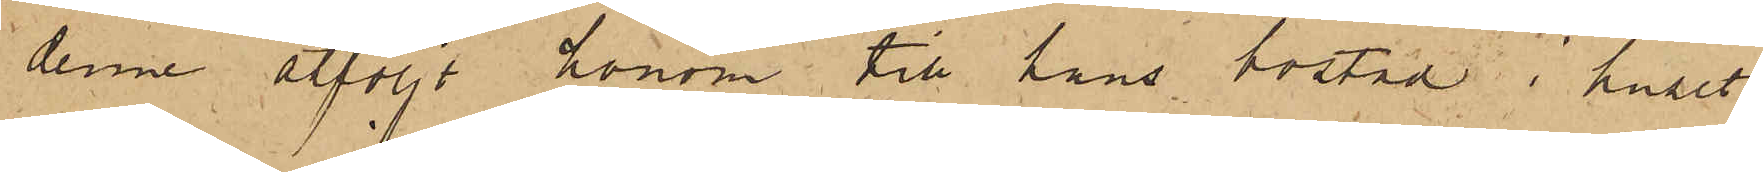denne åtföljt honom till hans bostad i huset
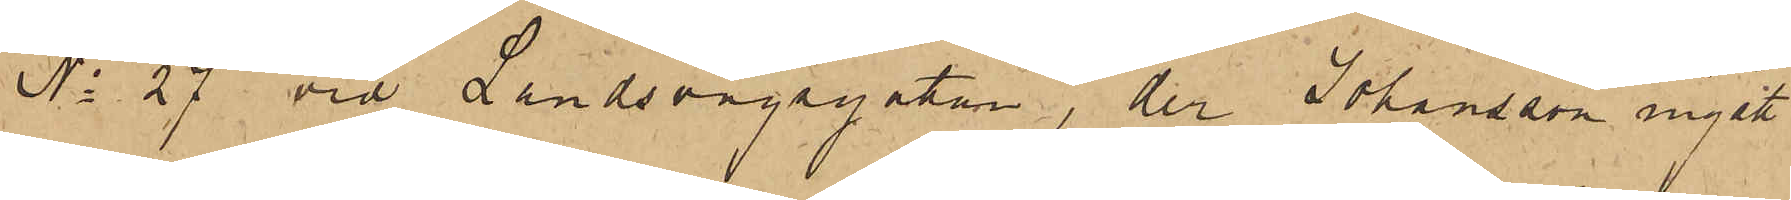No 27 vid Landsvägsgatan, der Johansson ingått
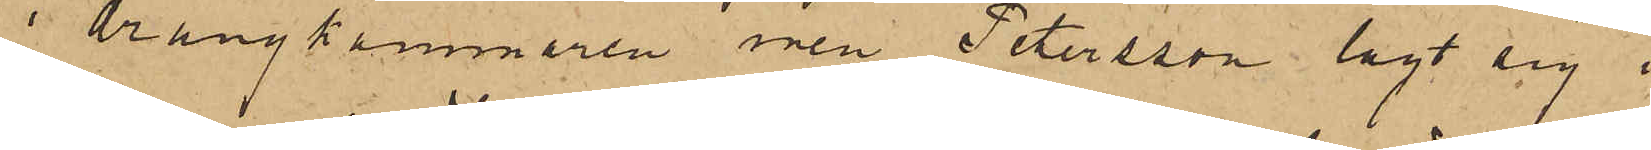i drängkammaren men Petersson lagt sig i
